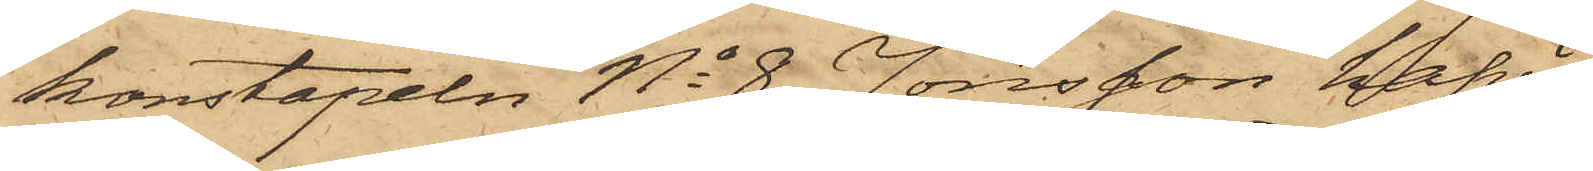konstapeln No 8 Jonsson hafva
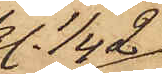kl. 1/4 2
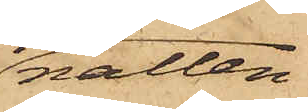natten
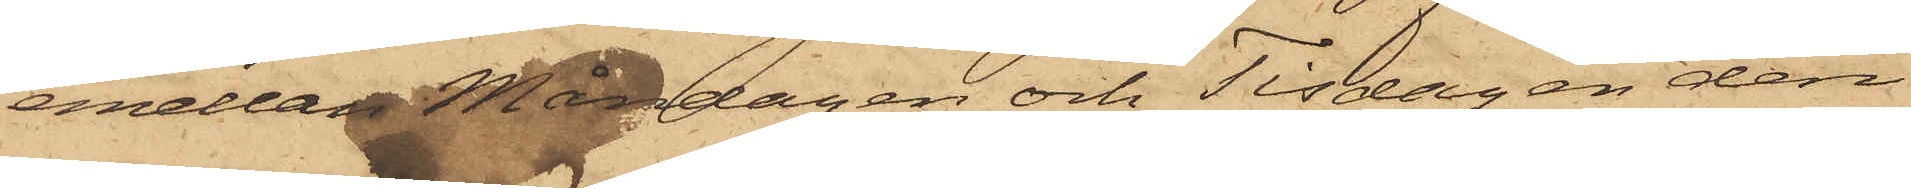emellan Måndagen och Tisdagen den
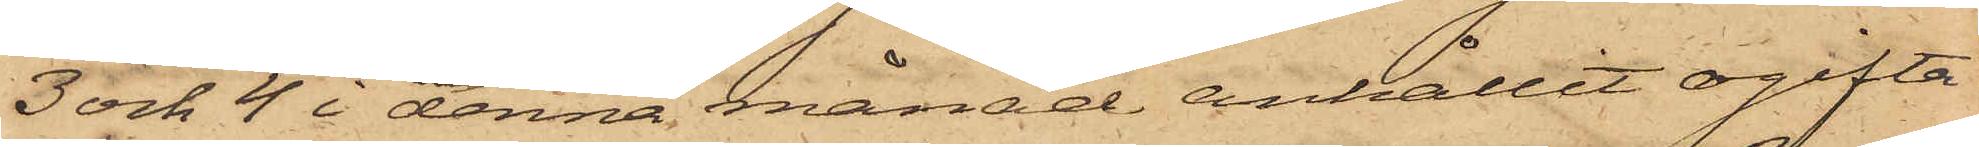3 och 4 i denna månad anhållit ogifta
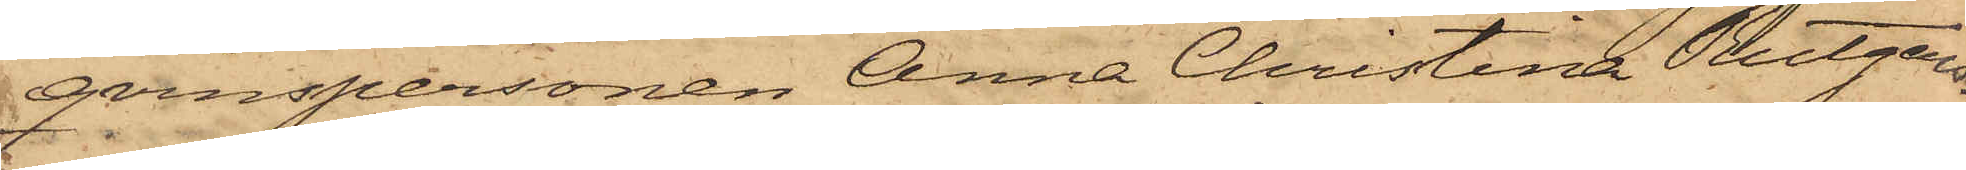qvinspersonen Anna Christina Rutger¬
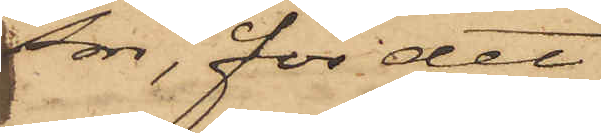son, för det
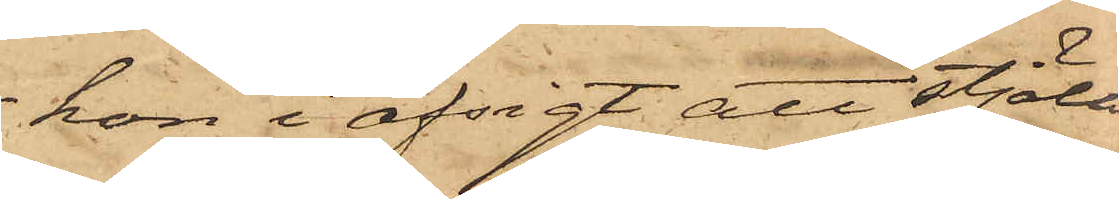hon i afsigt att stjäla
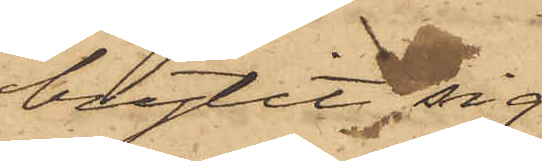brytit sig
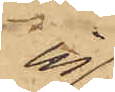in
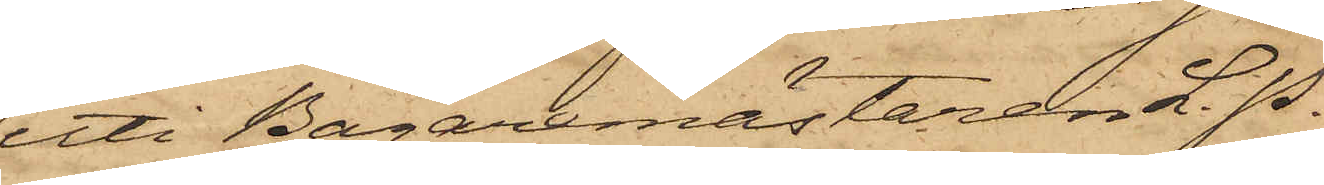uti Bagaremästaren L. P.
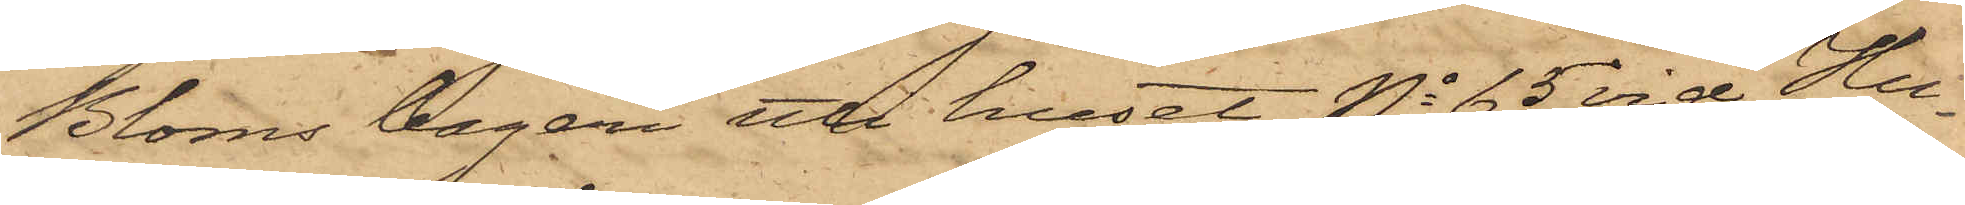Bloms bageri uti huset No 65 vid Hu¬
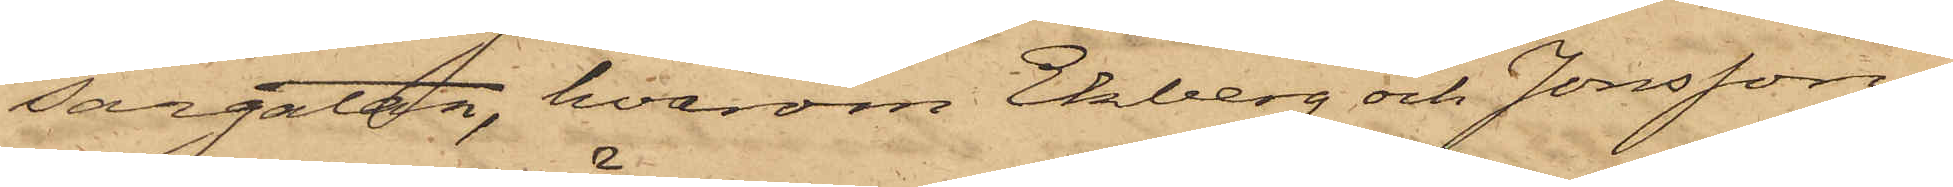sargatan, hvarom Ekberg och Jonsson
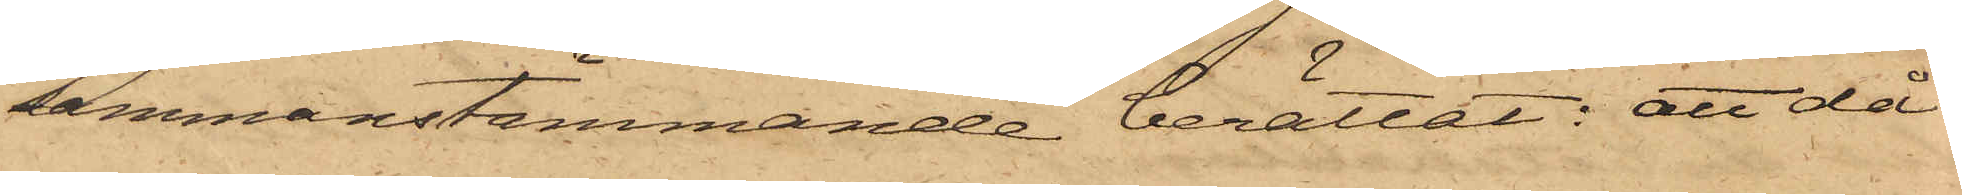sammanstämmande berättat: att då
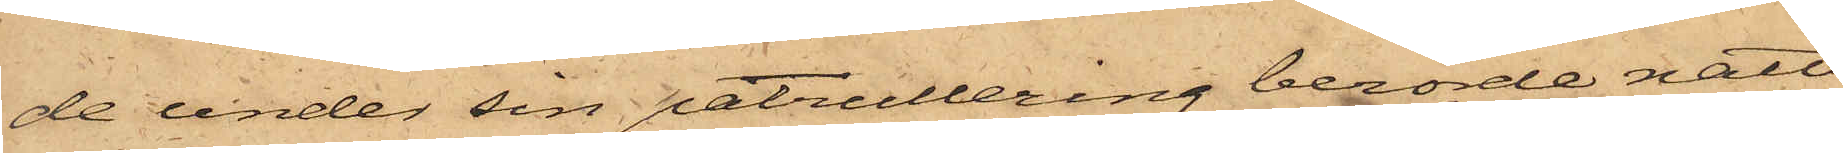de under sin patrullering berörde natt
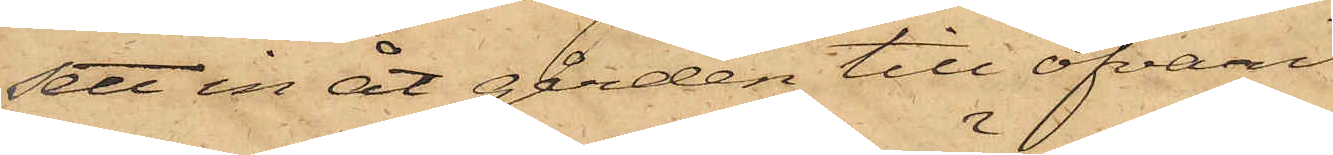sett in åt gården till ofvan¬
